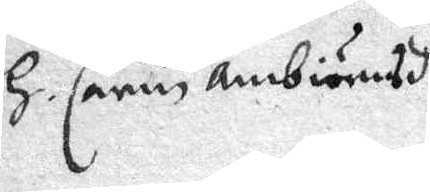H. Carin ambiörnsdr
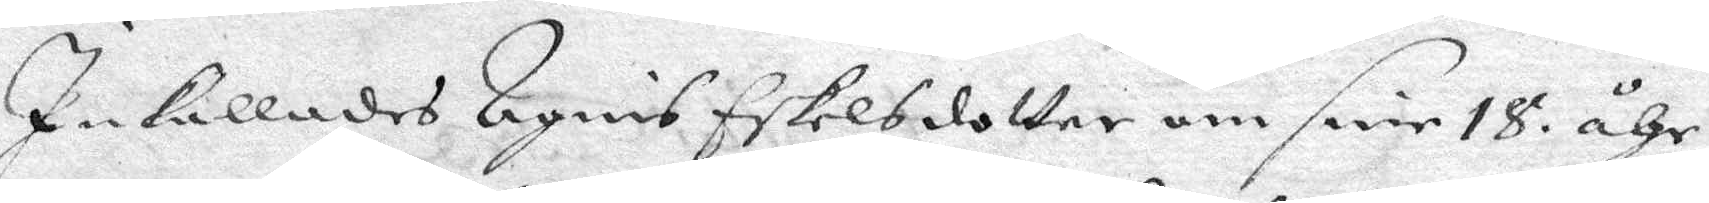Inkallades Agnis Eskelsdotter om sine 18 åhr,
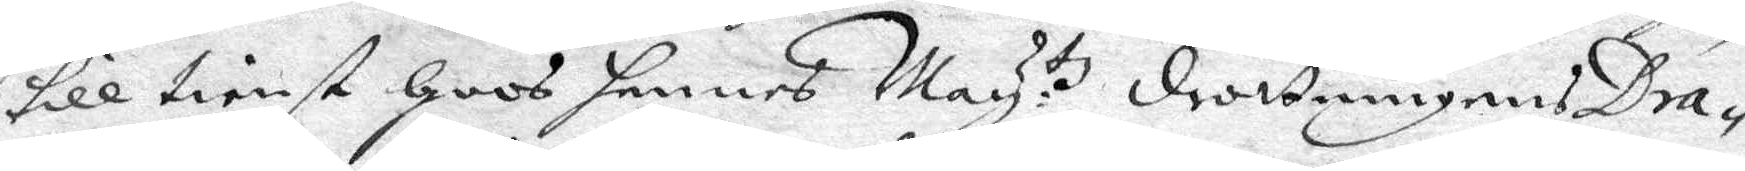till tienst Hoos hennes May:tz drottningens Dra¬
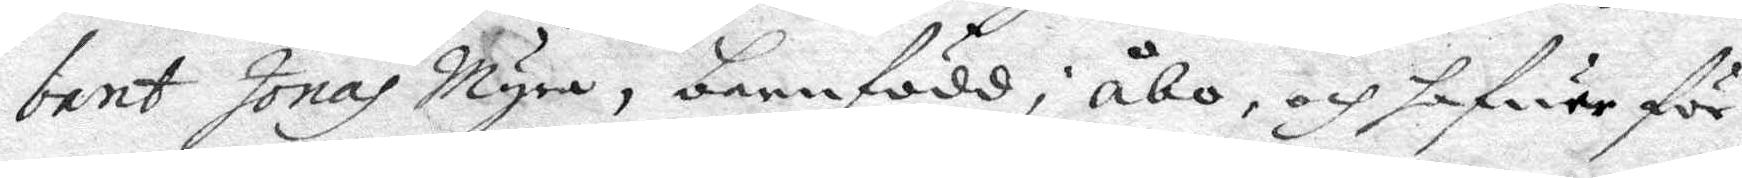bant Jonas Myra, barnfödd i Åbo, och hafwer för
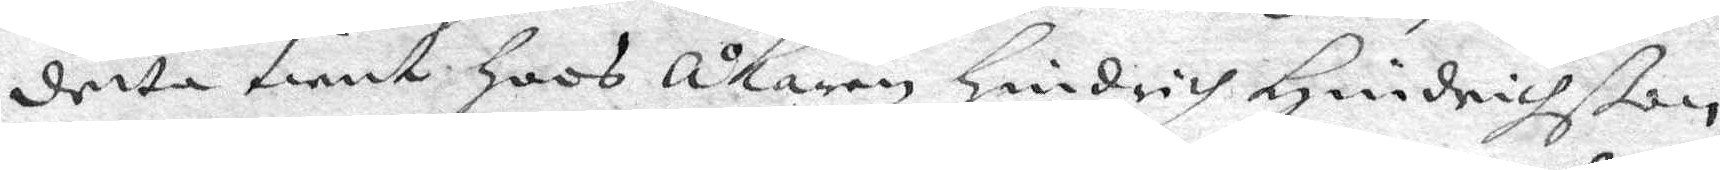detta tient Hoos Åkaren Hindrich Hindrichßon
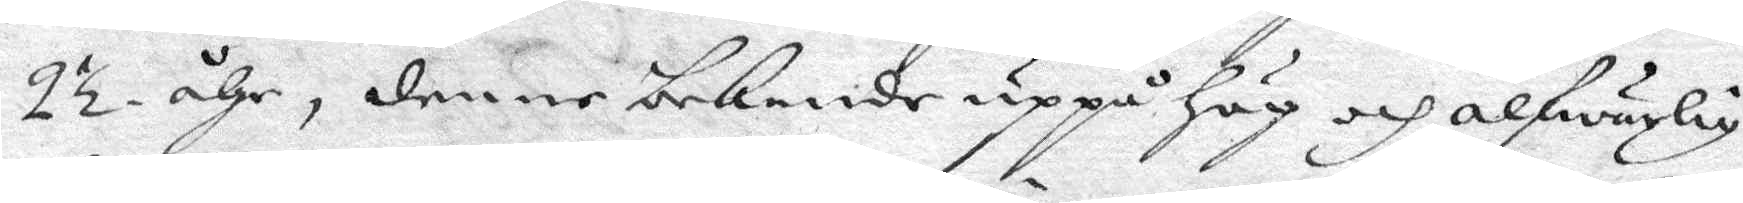2½ åhr, denne bekende uppå Hög och alfwarlig
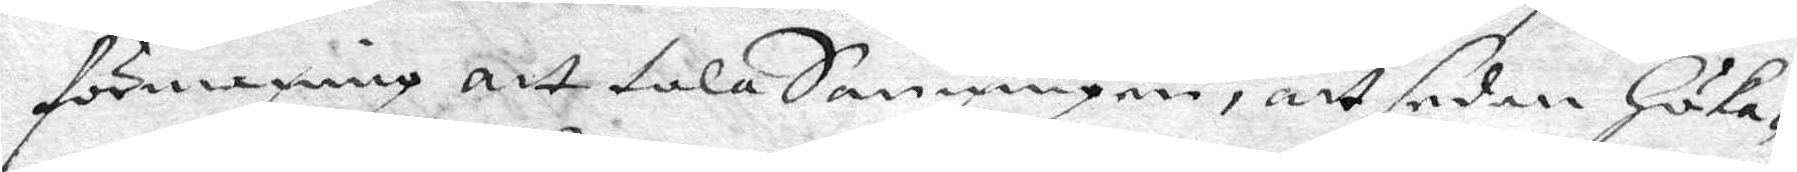förmaning att tala Sanningen, att sedan Höka¬
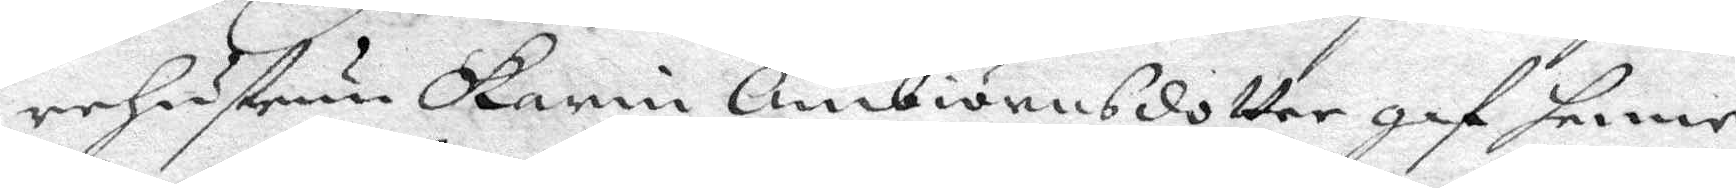reHustrun Karin Ambiörnsdotter gaf henne
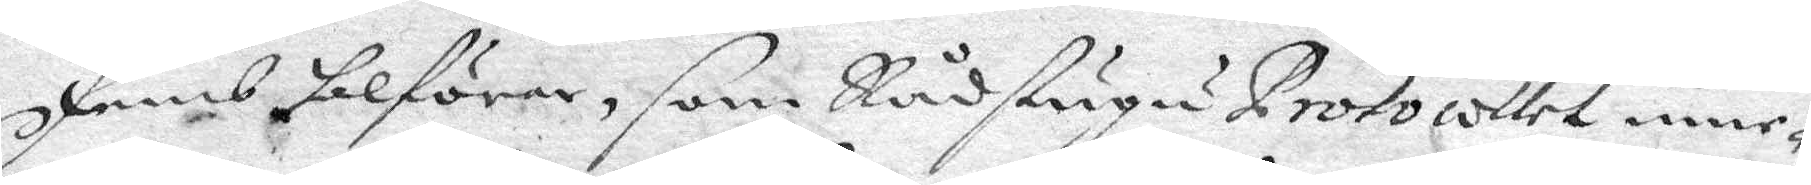femb silförar, som Rådstugu protocollet inne¬
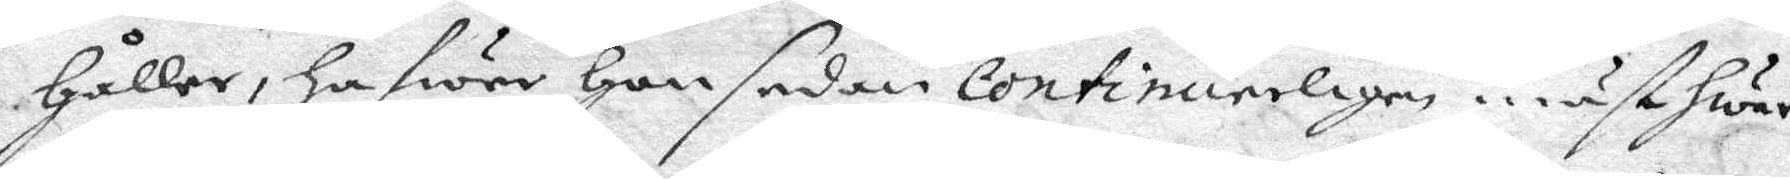Håller, hafwer Hon sedan continuerligen måst hwar
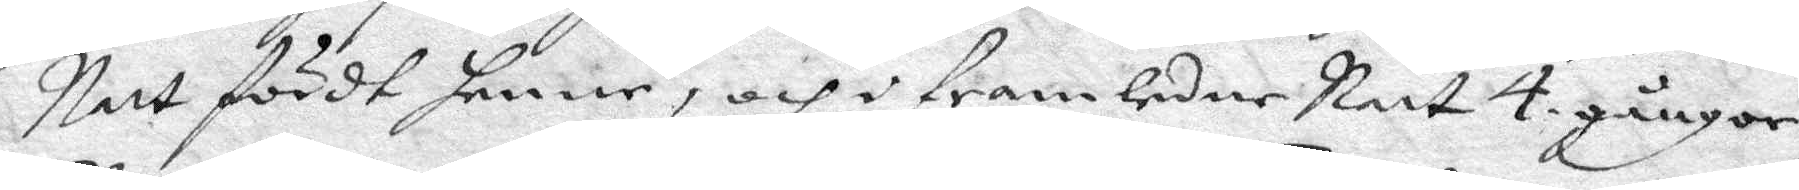Natt fördt henne, och i framledne Natt 4 gånger,
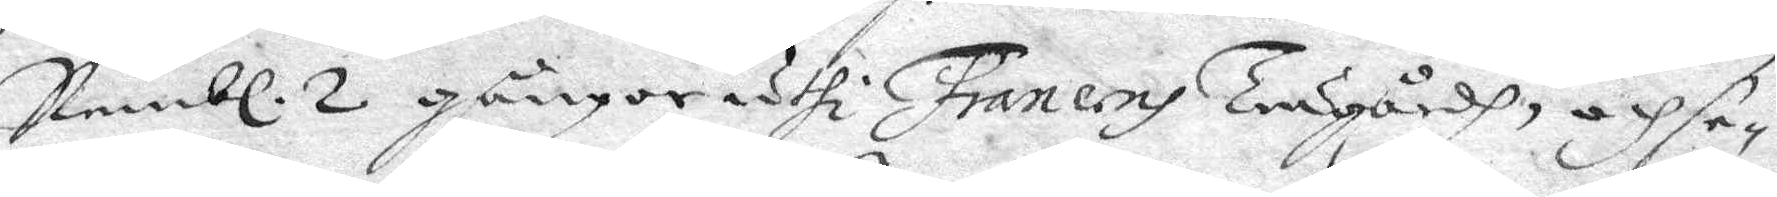Nembl. 2 gånger uthi Francens trädgårdh, och se¬
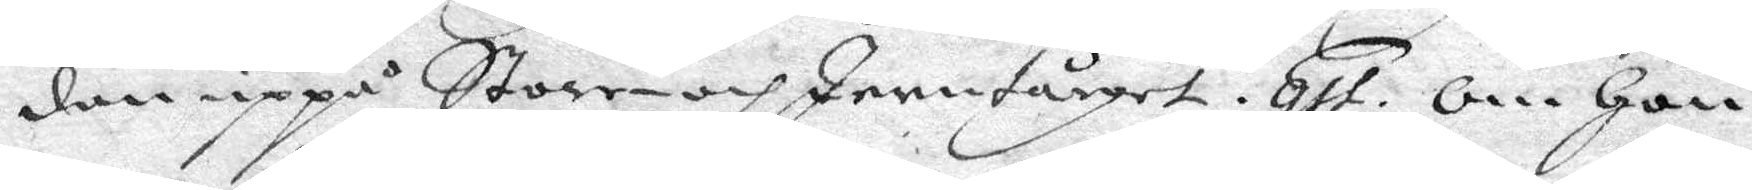dan uppå Store- och Innetårget. qst. Om Hon
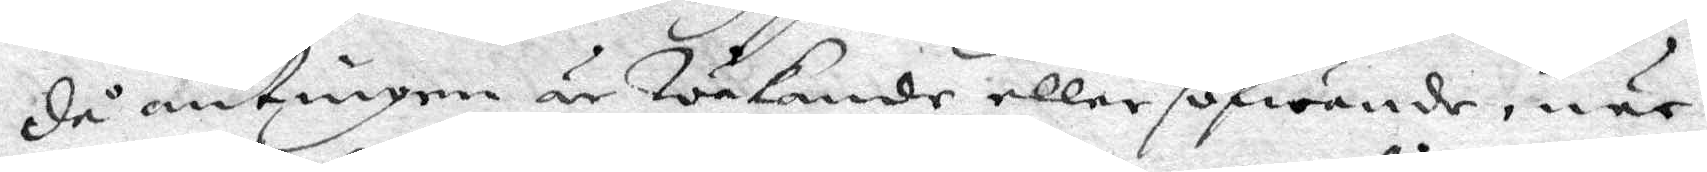då antingen är Wakande eller sofwande, när
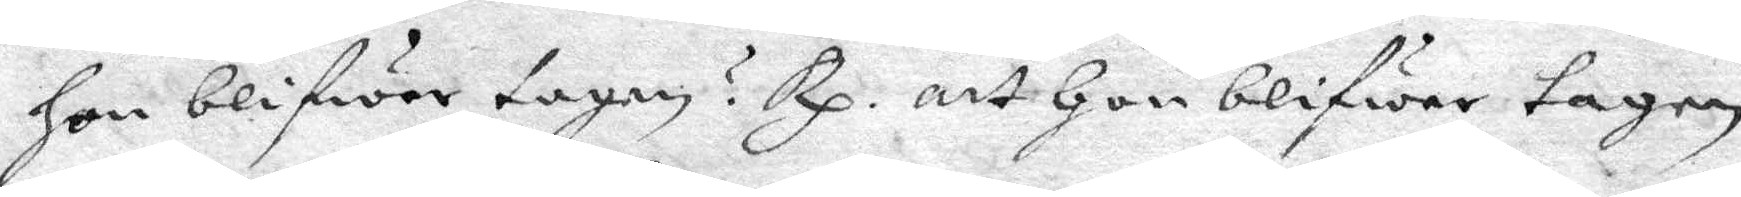hon blifwer tagen? Rp. att Hon blifwer tagen
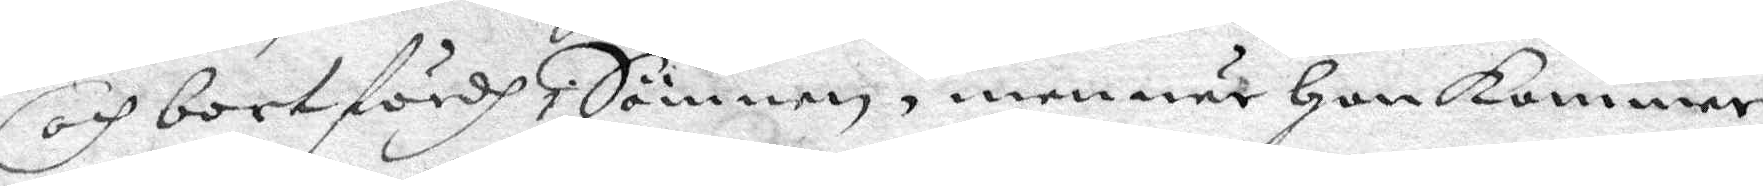och bortfördh i Sömnen, men när Hon kommer
